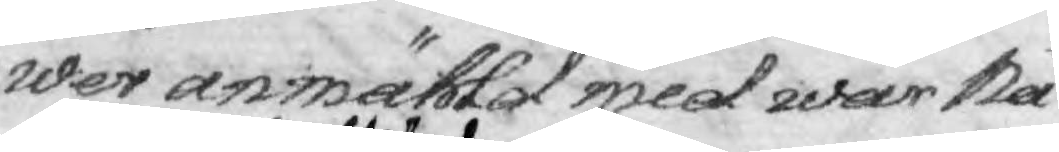wer anmählat med wår Nå¬
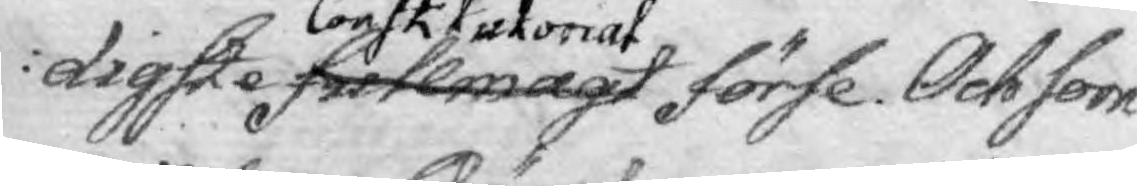digste fullmagt constitutorial förse. Och som
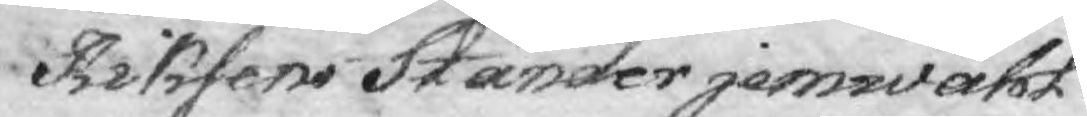Riksens Ständer jemwähl
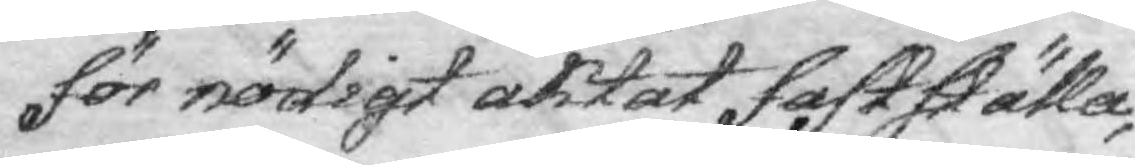för nödigt aktat fastställa,
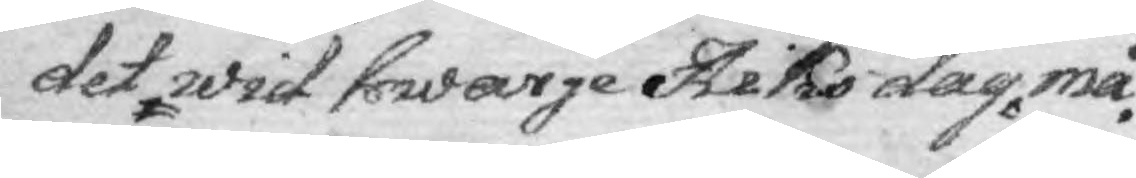det wid hwarje Riks dag må
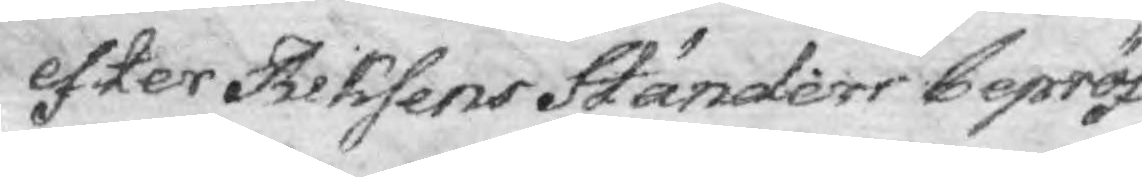efter Riksens Ständers bepröf¬
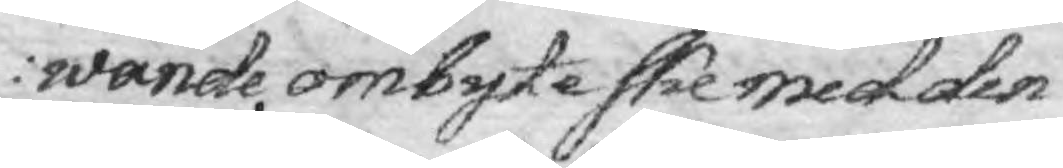wande, ombyte ske med den
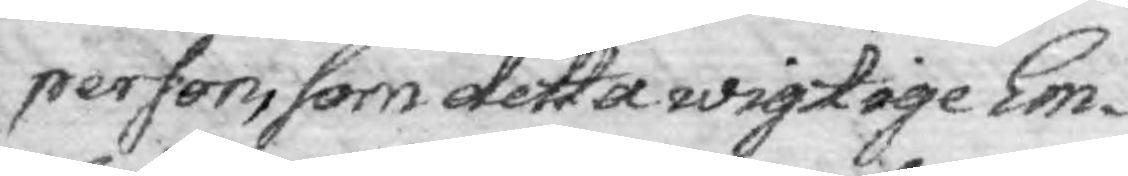person, som detta wigtige Em¬
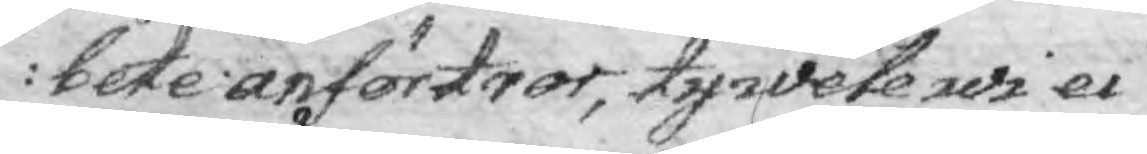bete anförtror, ty wele wi ei
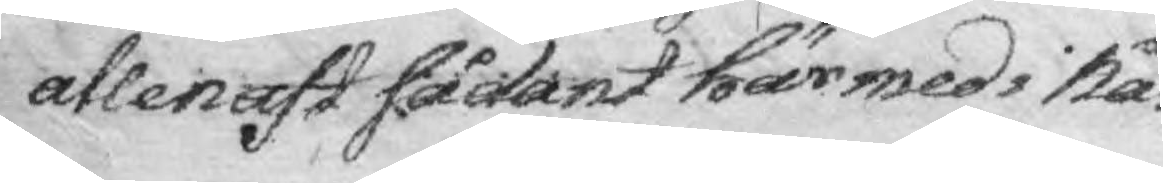allenast sådant härmed i Nå¬
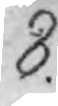8.
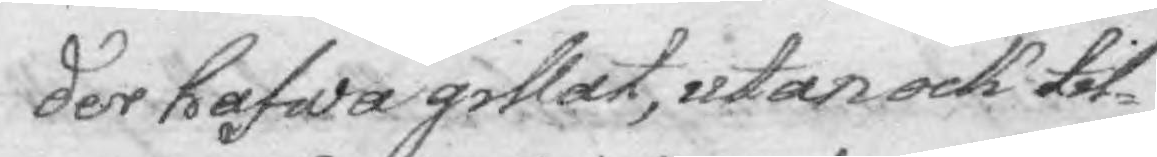der hafwa gillat, utan ock til¬
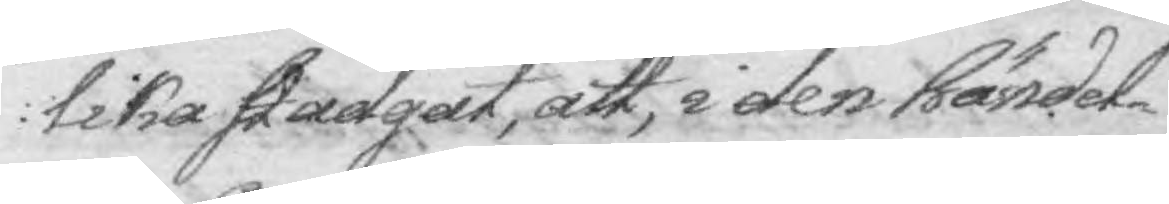lika stadgat, att, i den händel¬
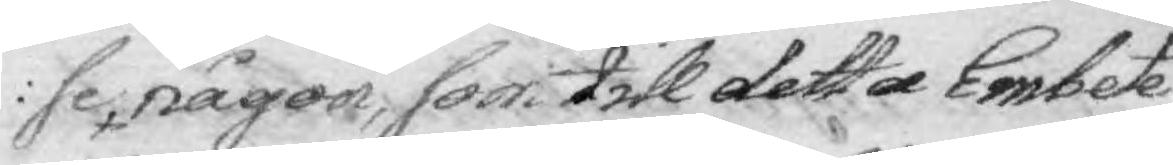se någon, som till detta Embete
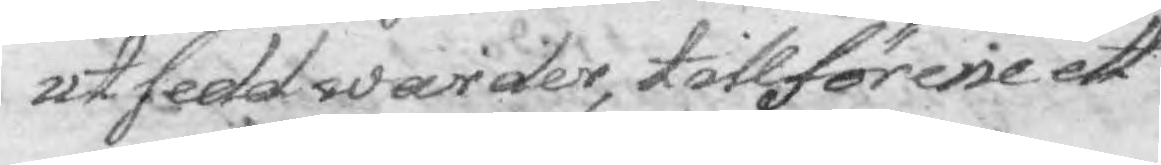utsedd warder, tillförene ett
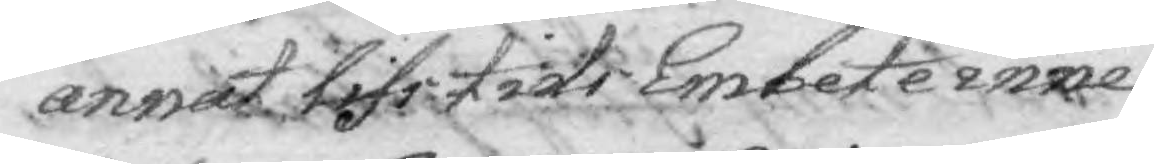annat lifstids Embete inne¬
